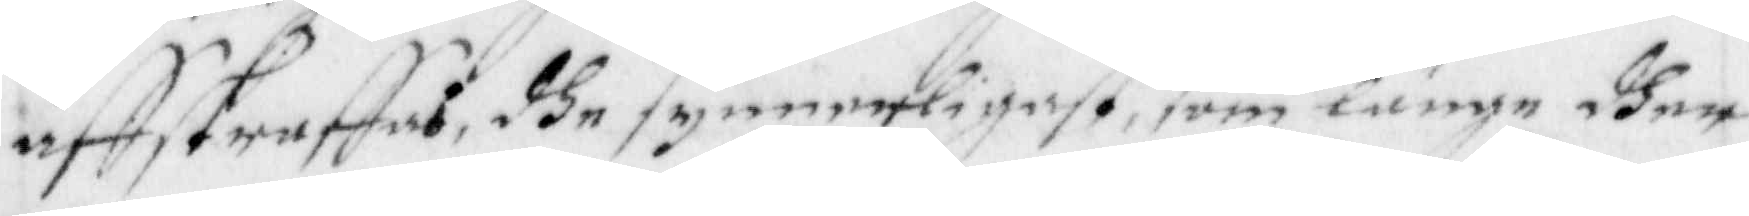affstraffas, dhe synnerligast, som länge dher
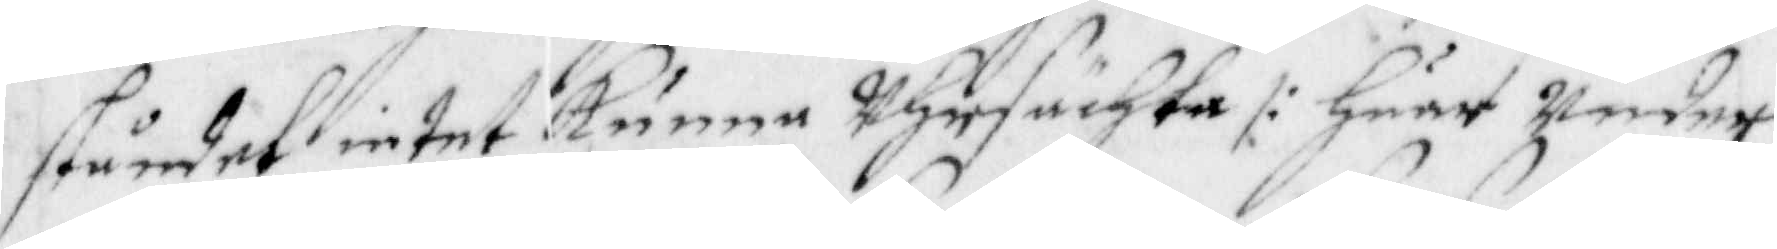ståndet intet kunna uhrsächta /: Huar Under
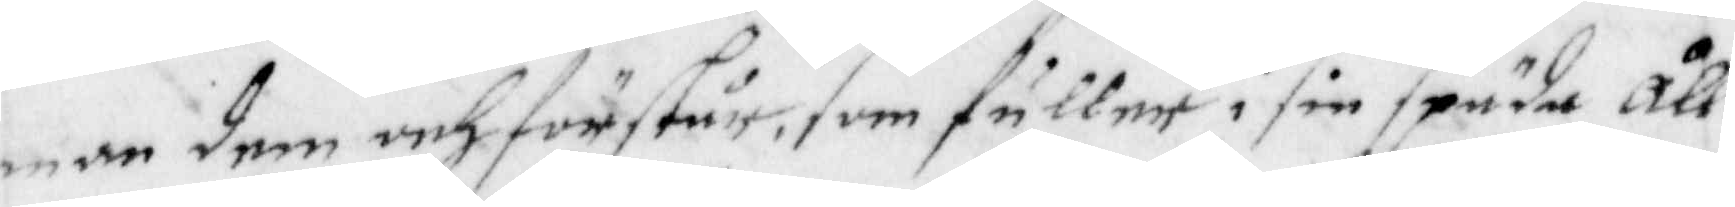man dem och förstår, som fuller i sin späda åll¬
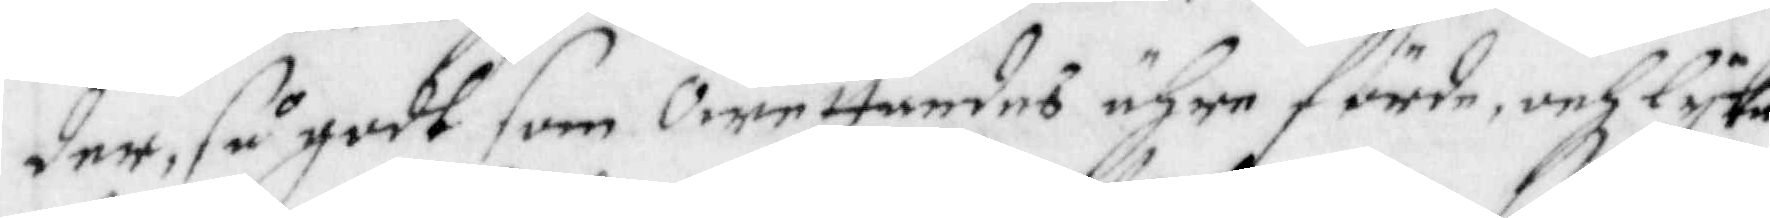der, så godt som Owettandes ähre förde, och lyka
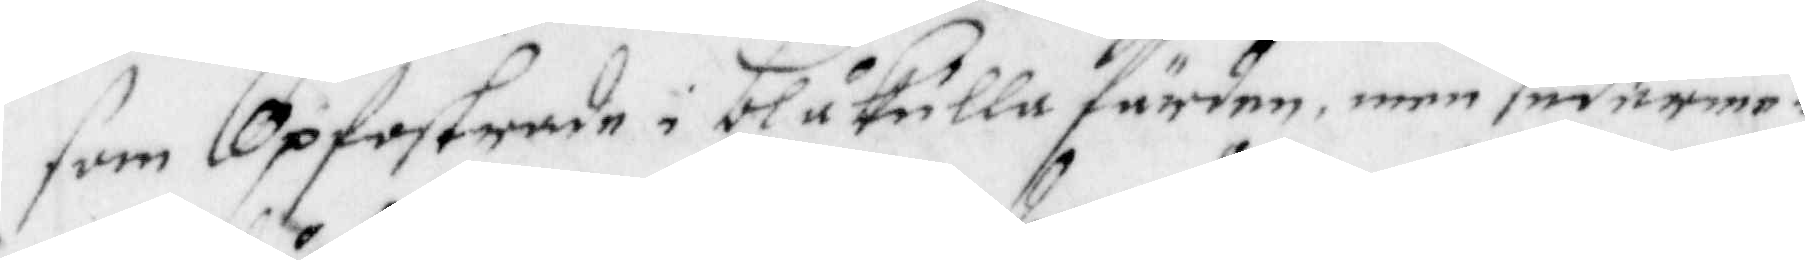som Opfostrade i blåkulla fördee, men sederme¬
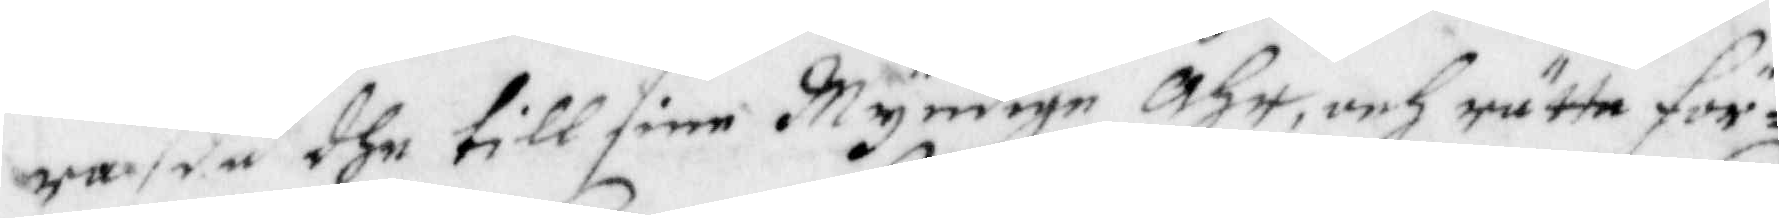ra då dhe till sine Myndige Åhr, och rätta för¬
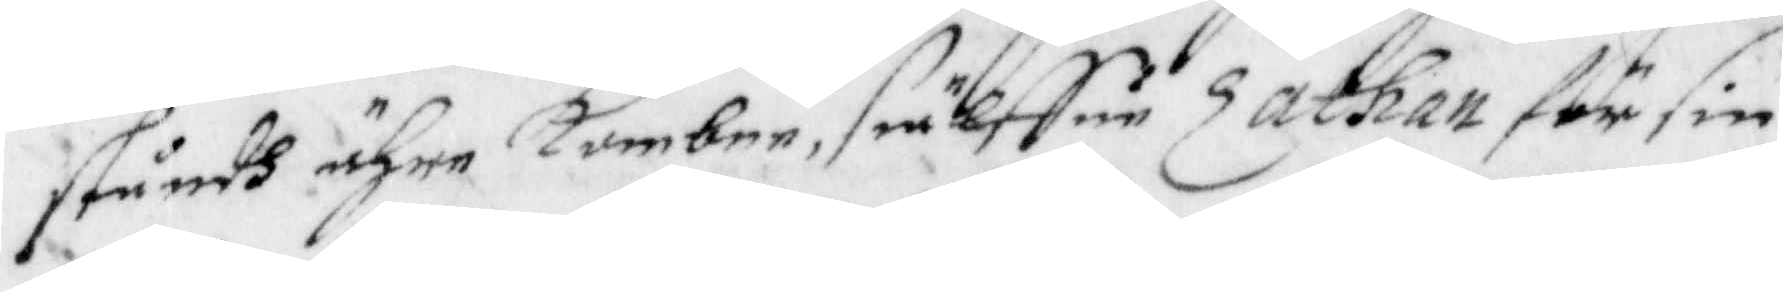ståndh ähre kombne, siälffue Zatgan för sin
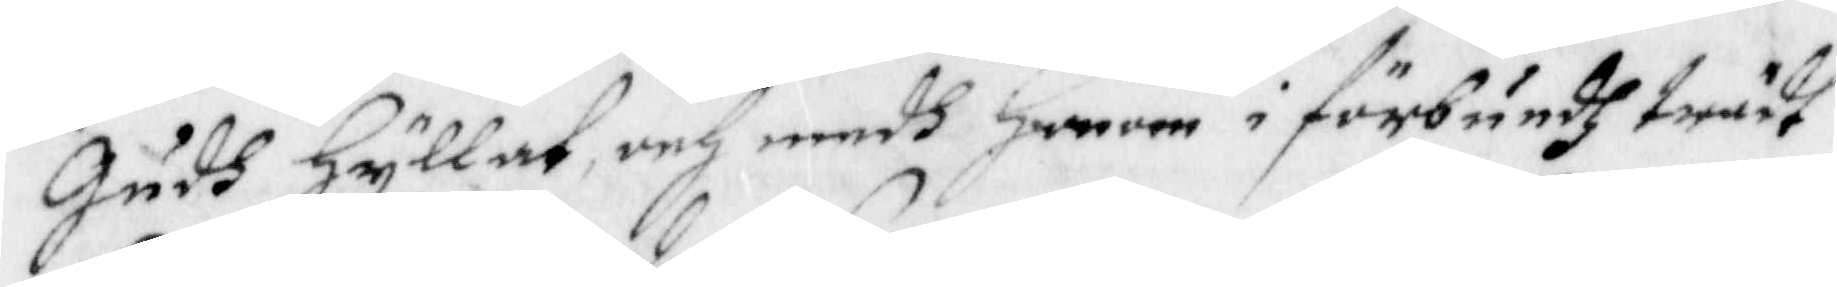Gudh Hyllat, och medh Honom i förbundh trädt
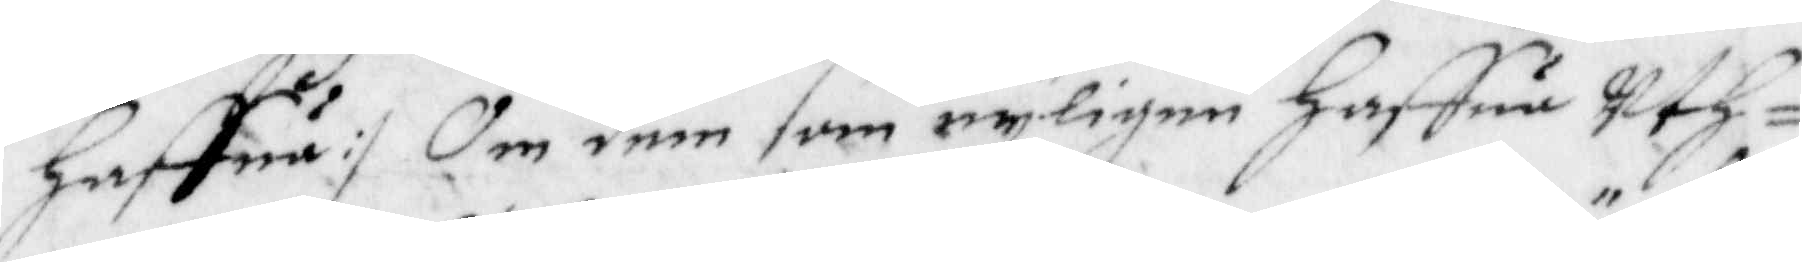Haffua :/ Om dem som nyligen Haffua Uth¬
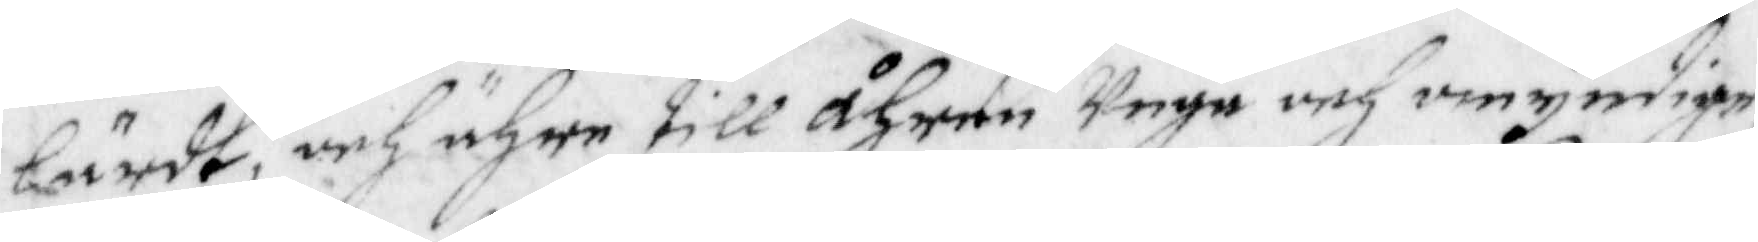lärdt, och ähre till åhren Unge och omyndige
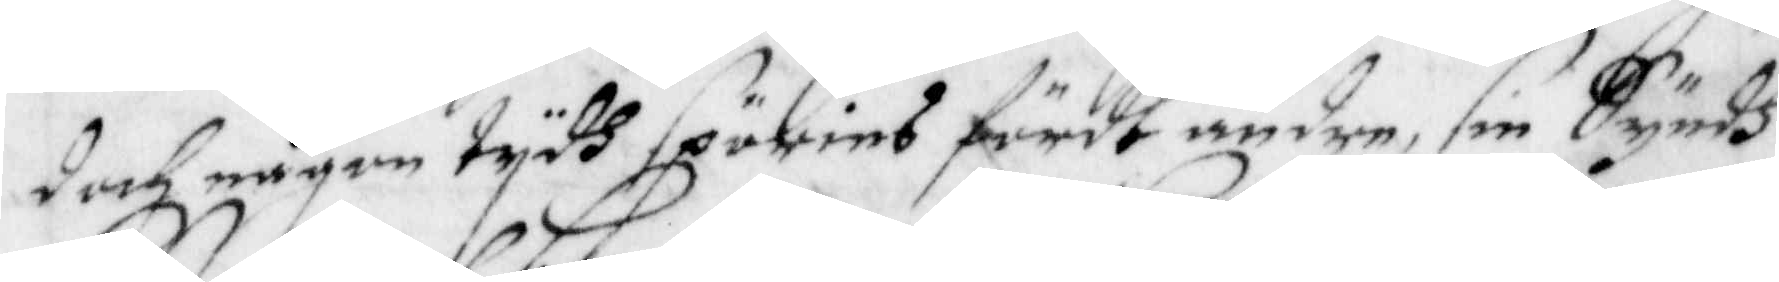doch någon tydh spöries fördt andre, sin Syndh
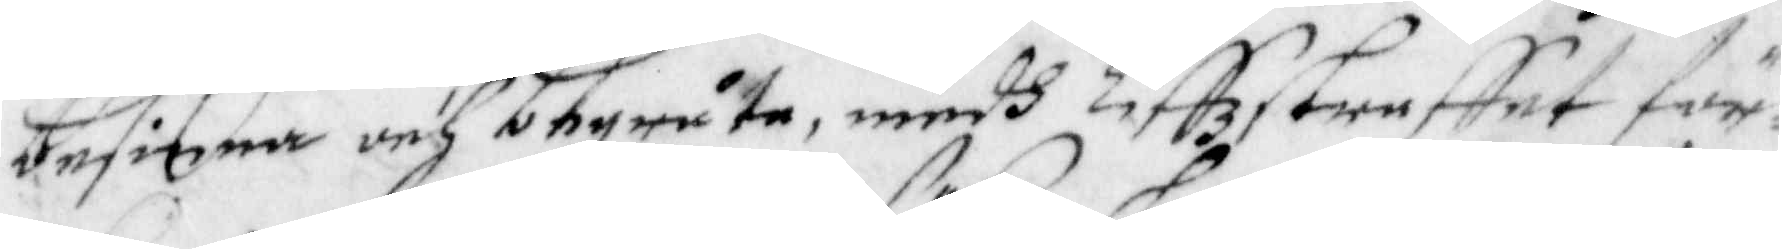besinna och begråta, medh Liffzstraffet för¬
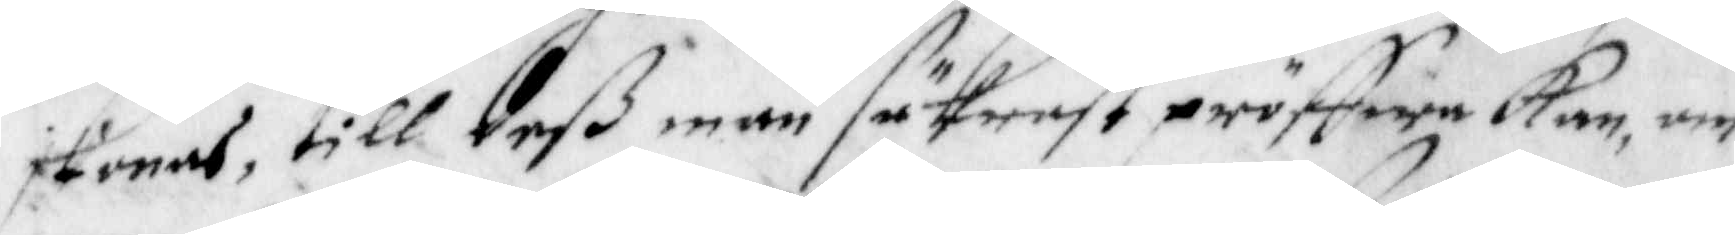skonas, till deß man säkrast pröffwa kan, om
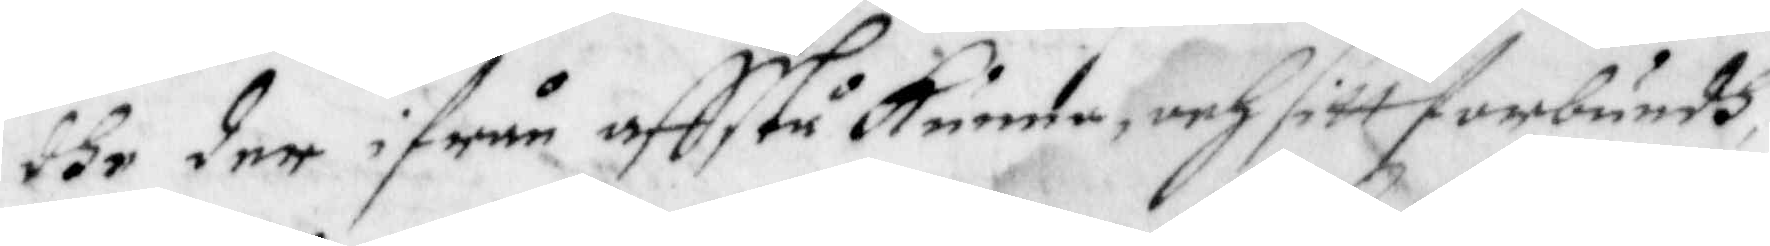dhe der ifrån affstå Kunde, och sitt förbundh
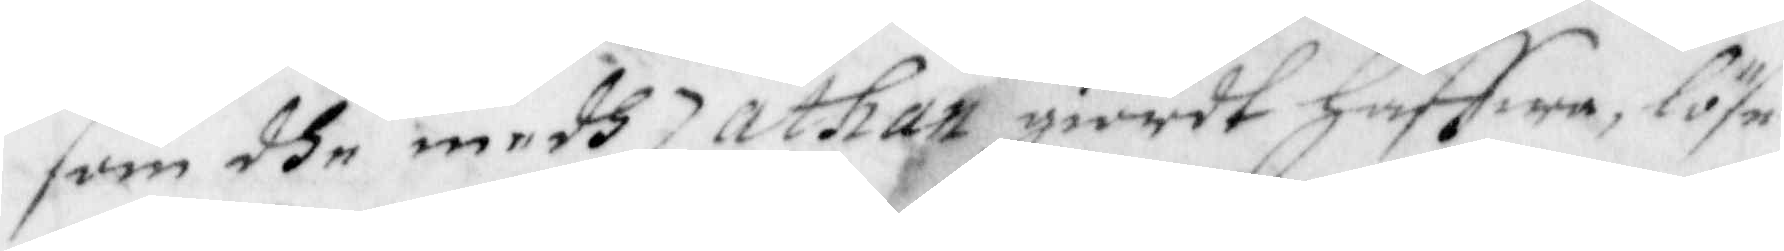som dhe medh Zathan giotdt haffwa, löse
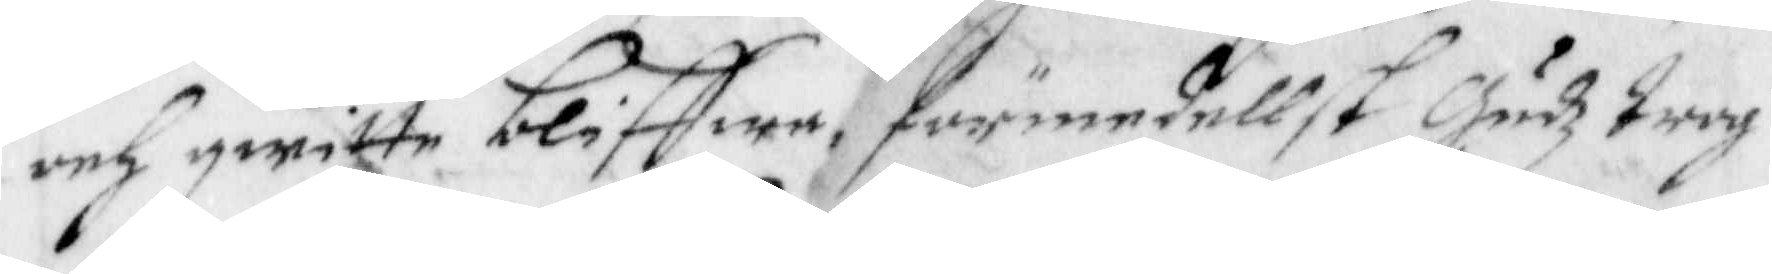och qwitte bliffwa, förmedellst Gudz trog¬
